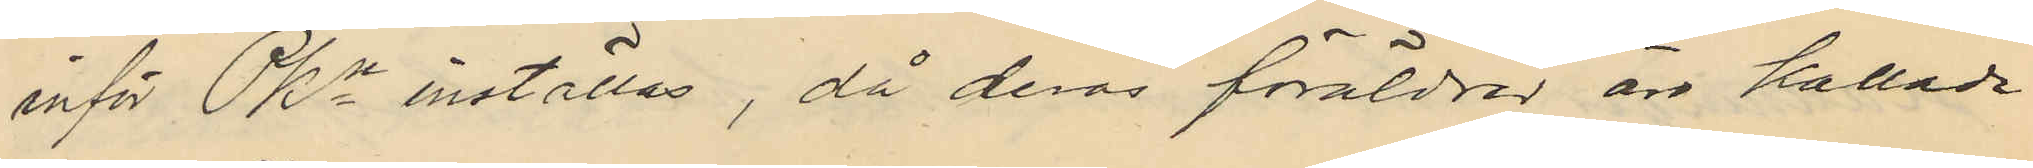inför Pkn inställas, då deras föräldrar äro kallade
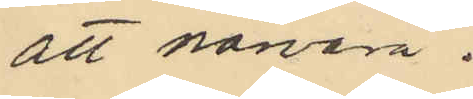att närvara.
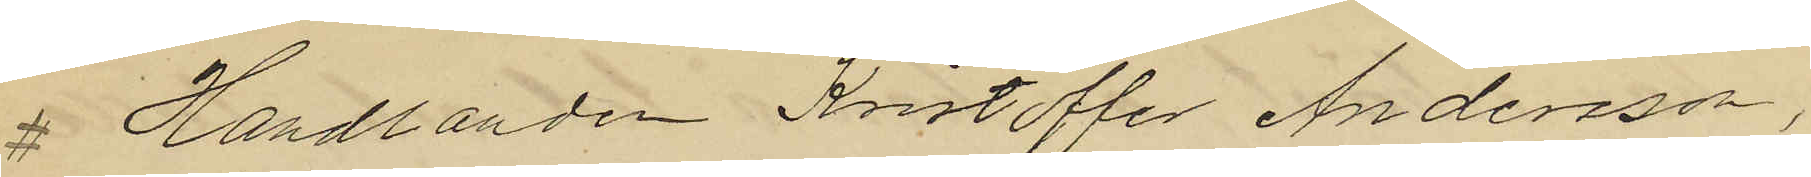# Handlanden Kristoffer Andersson,
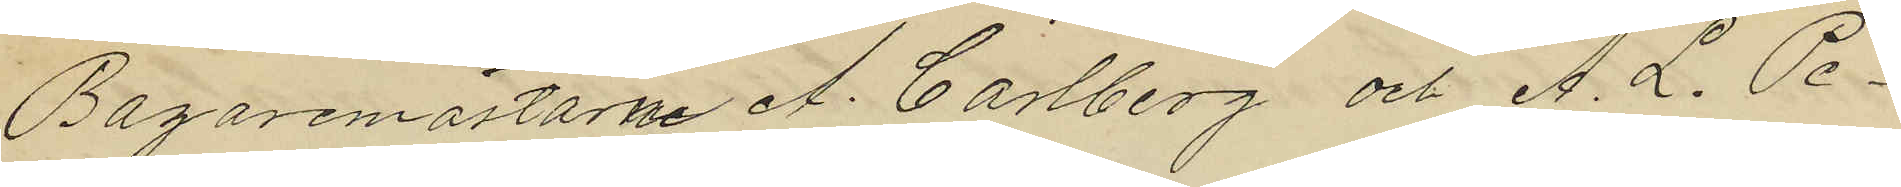Bagaremästarne A. Carlberg och A. L. Pe¬
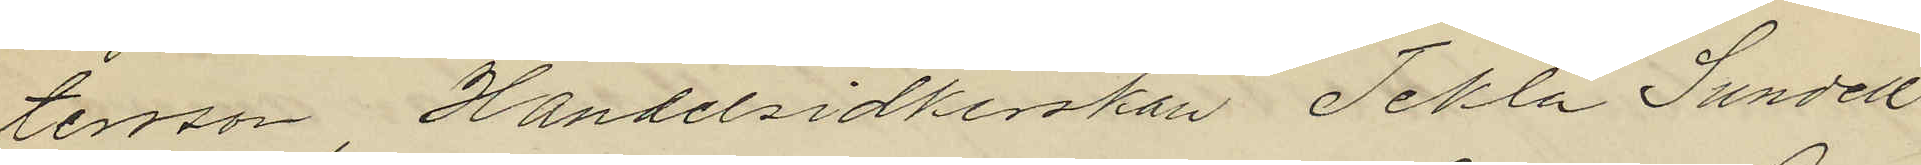tersson, Handelsidkerskan Tekla Sundell
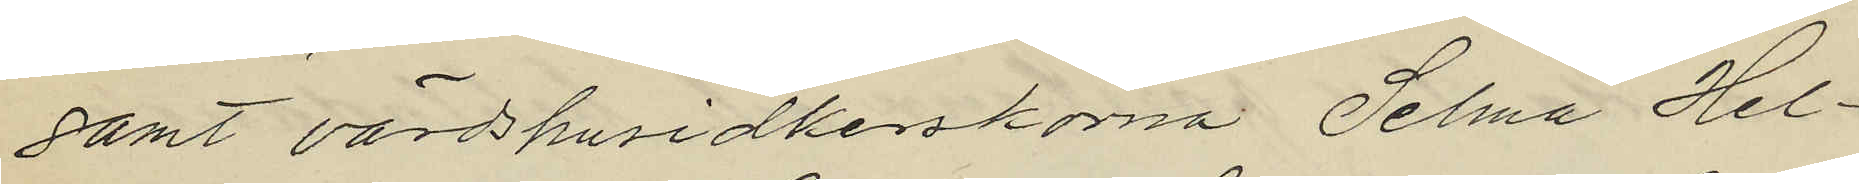samt värdshusidkerskorna Selma Hel¬
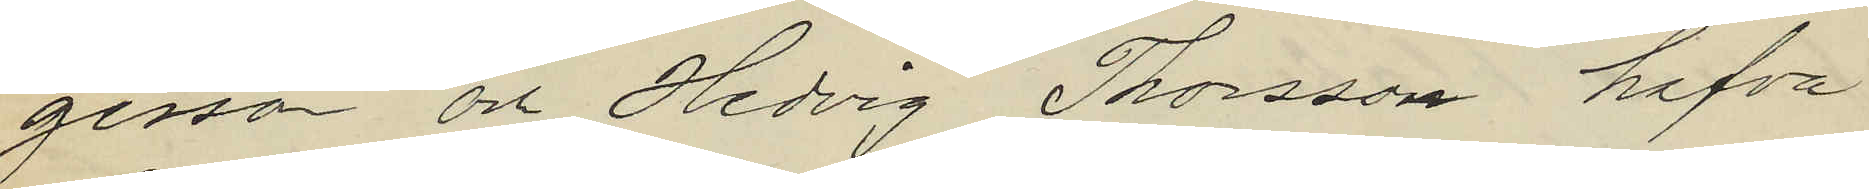gesson och Hedvig Thorsson hafva
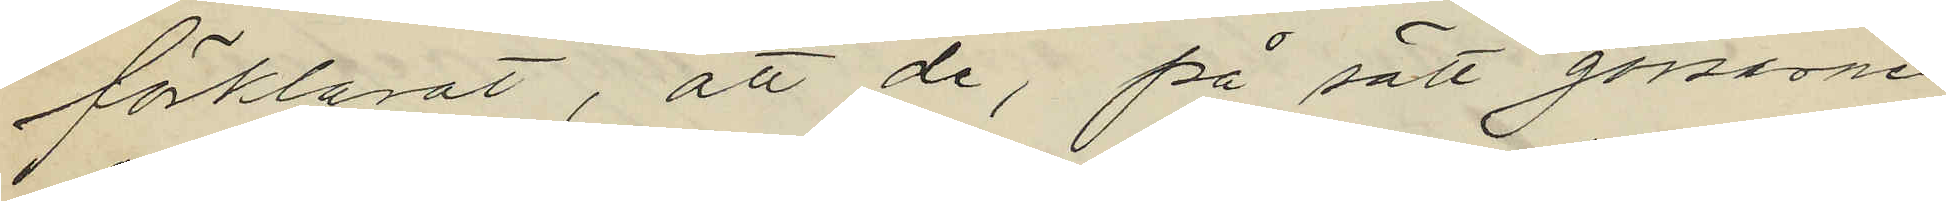förklarat, att de, på sätt gossarne
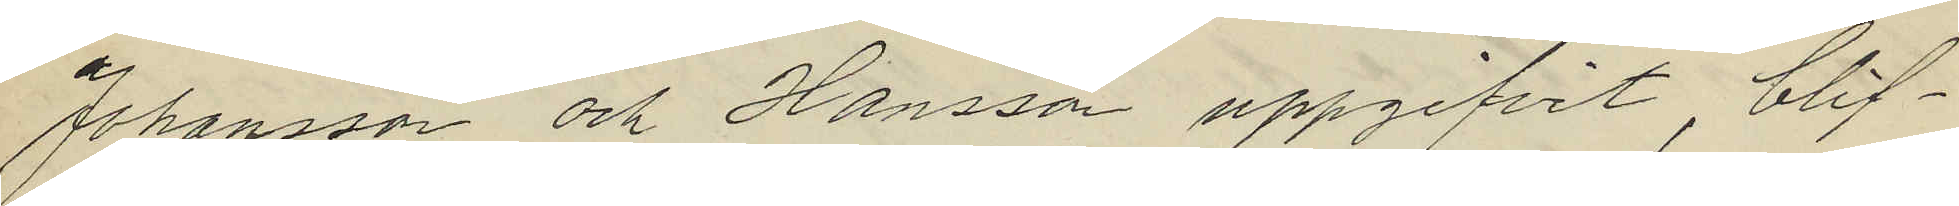Johansson och Hansson uppgifvit, blif¬
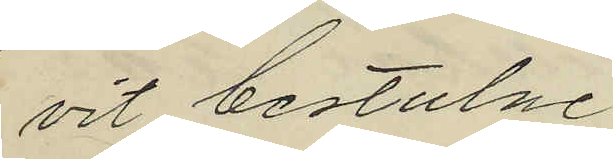vit bestulne.
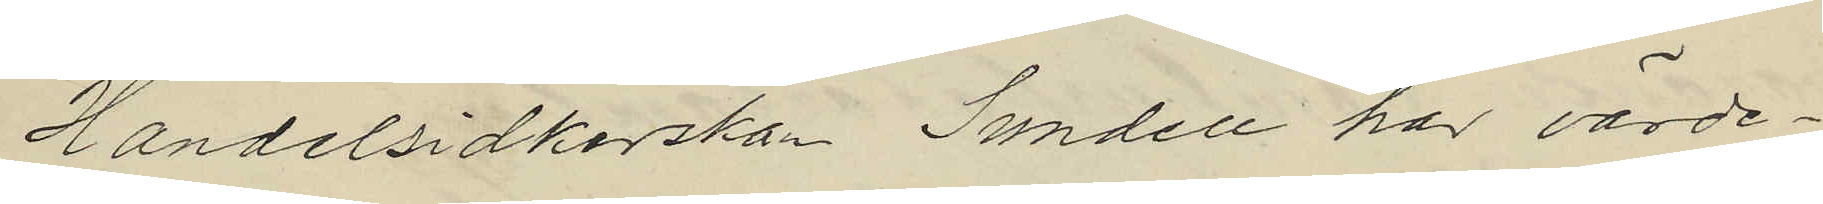Handelsidkerskan Sundell har värde¬
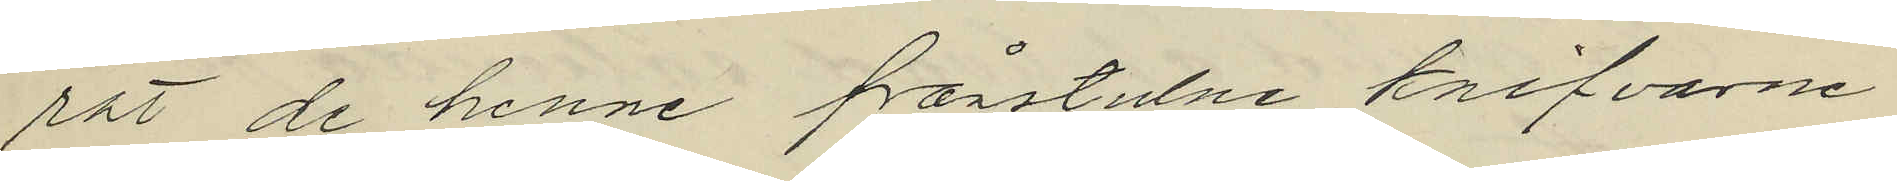rat de henne frönstulne knifvarne
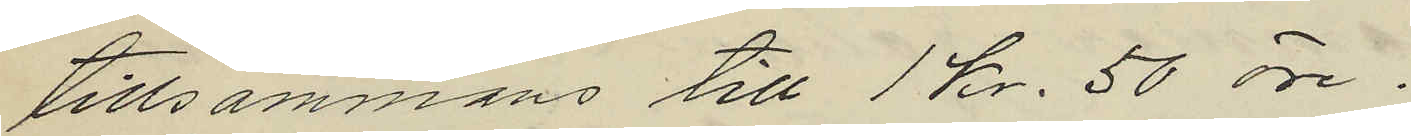tillsammans till 1 Kr. 50 öre.
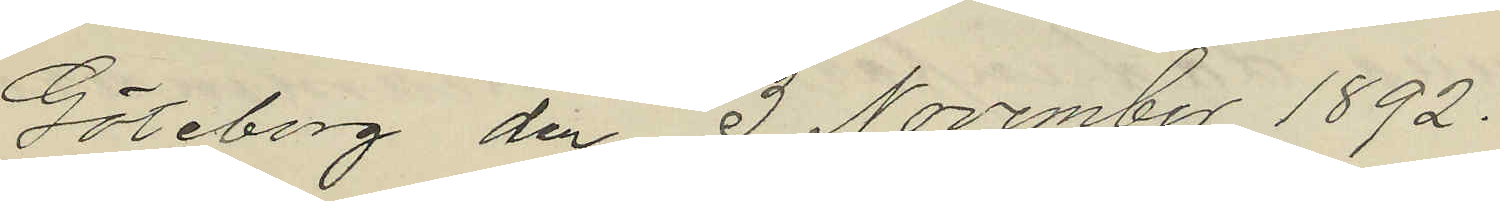Göteborg den 3 November 1892.
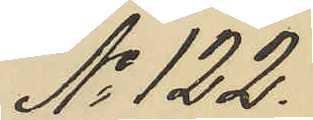No 122.
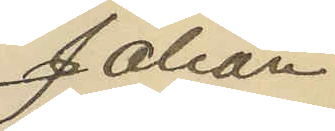Johan
